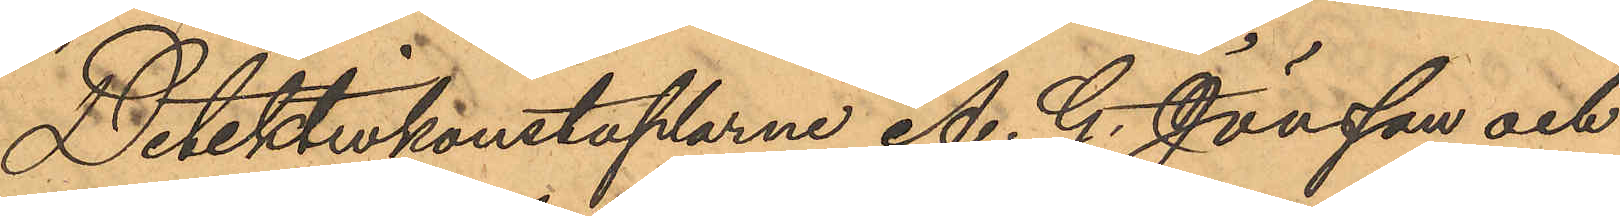Detektivkonstaplarne A. G. Jönsson och
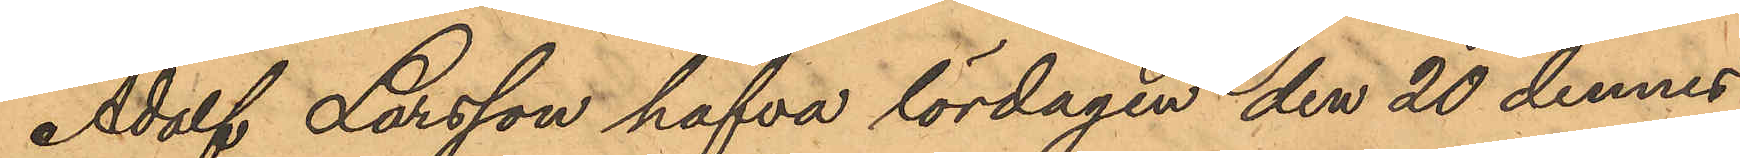Adolf Larsson hafva lördagen den 20 dennes
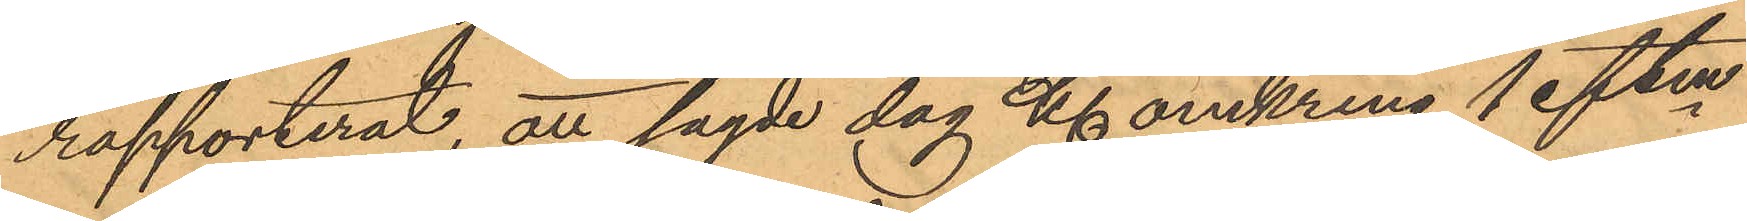rapporterat, att sagde dag Kl omkring 1 eftm
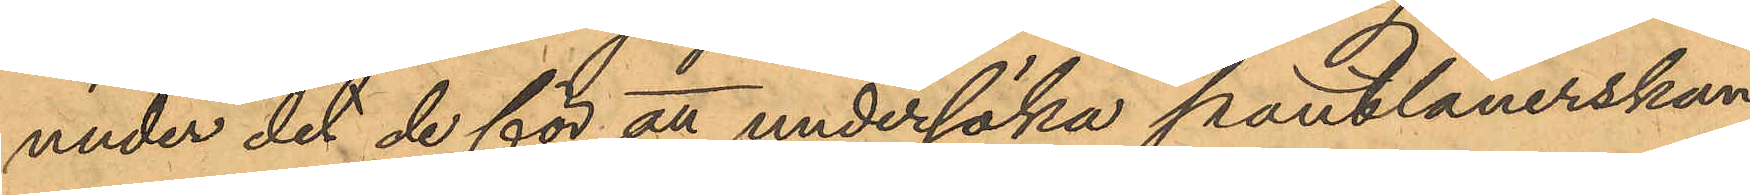under det de för att undersöka pantlånerskan
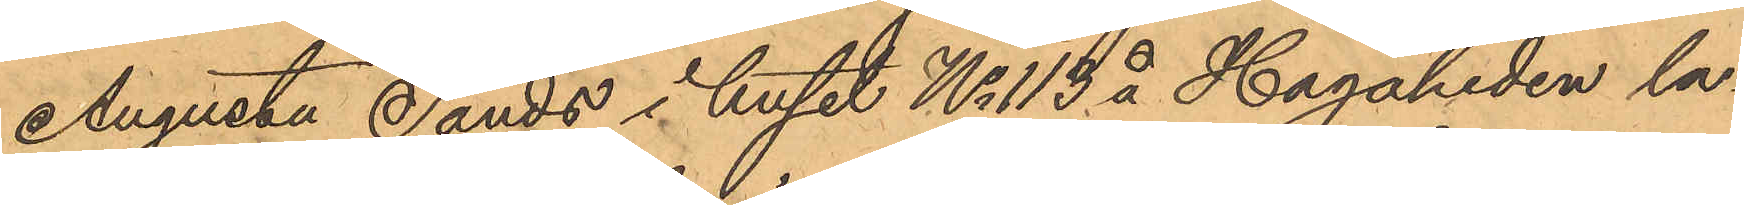Augusta Sands i huset No 113 å Hagaheden la¬
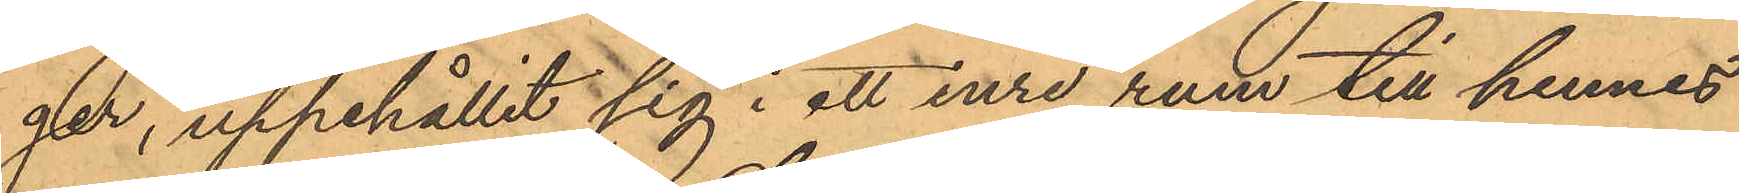ger, uppehållit sig i ett inre rum till hennes
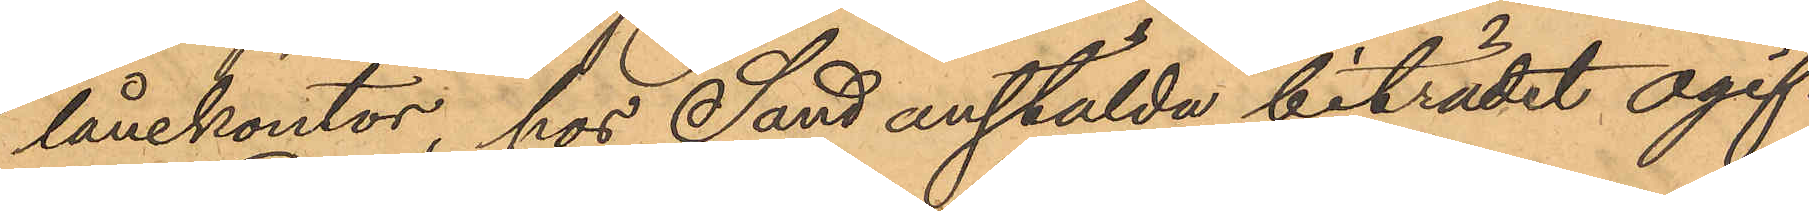lånekontor hos Sand anstälda biträdet ogif¬
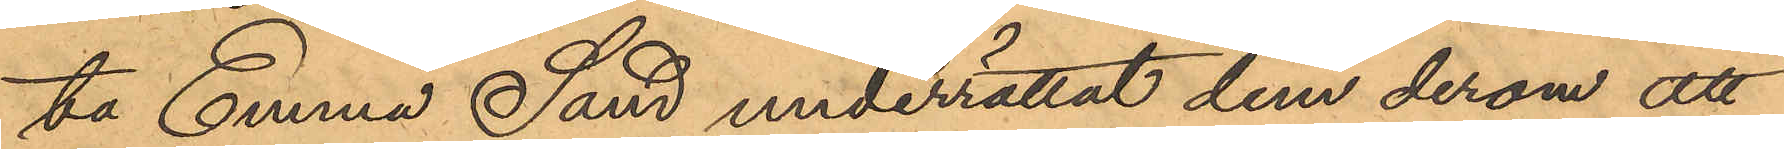ta Emma Sand underrättat dem derom att
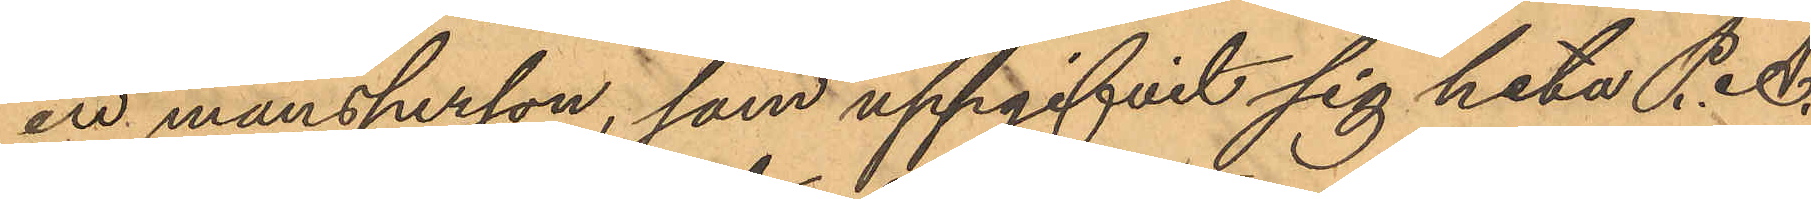en mansperson, som uppgifvit sig heta P. A.
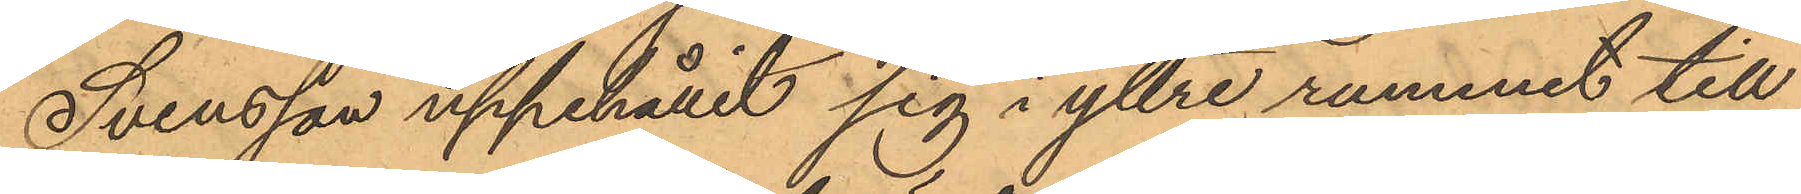Svensson uppehållit sig i yttre rummet till
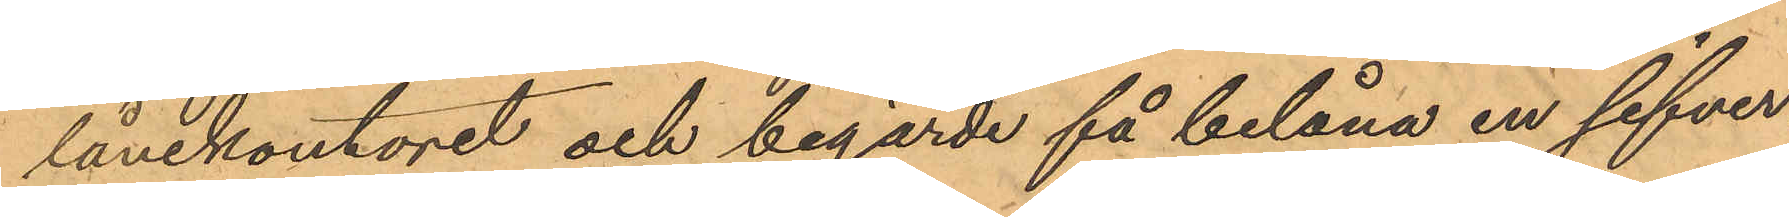lånekontoret och begärde få belåna en silfver¬
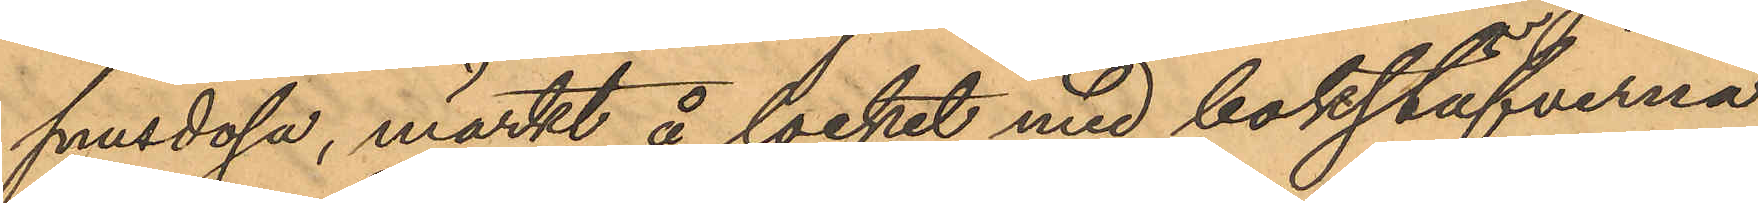snusdösa, märkt å locket med bokstäfverna
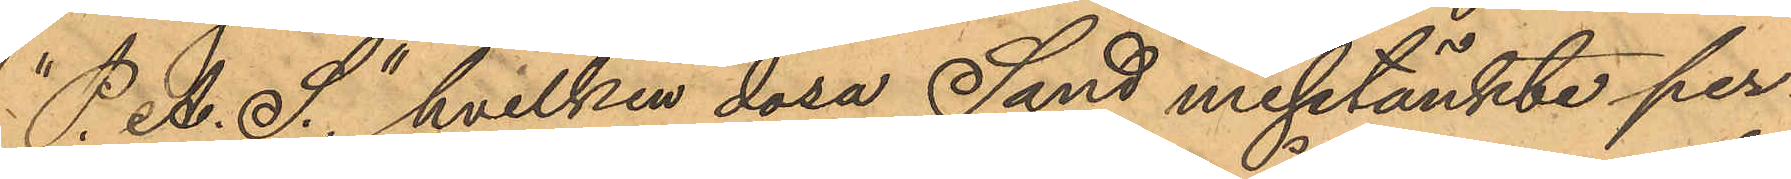"P. A. S" hvilken dosa Sand misstänkte per¬
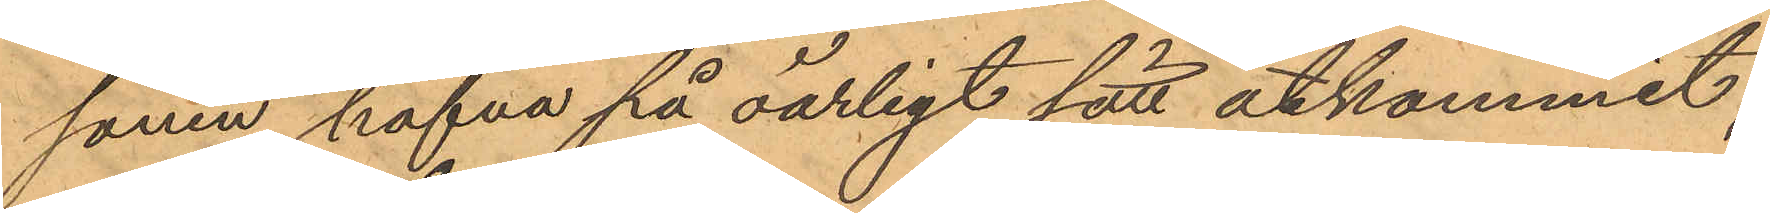sonen hafva på oärligt sätt åtkommit.
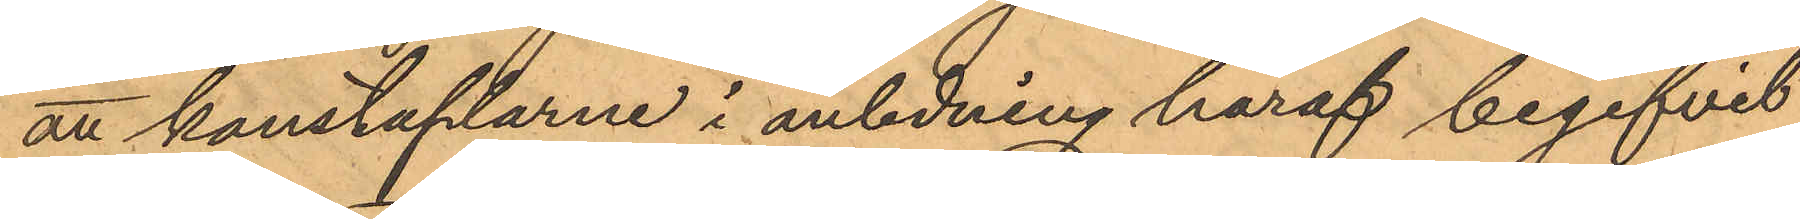att konstaplarne i anledning häraf begifvit
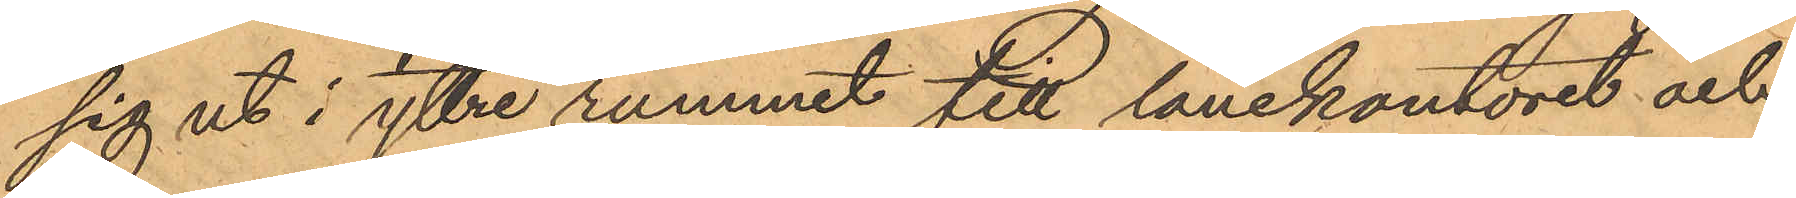sig ut i yttre rummet till lånekontoret och
